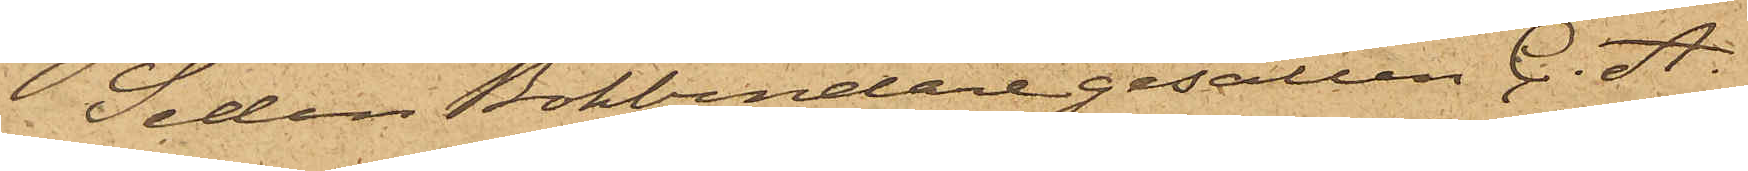Sedan Bokbindaregesällen C. A.
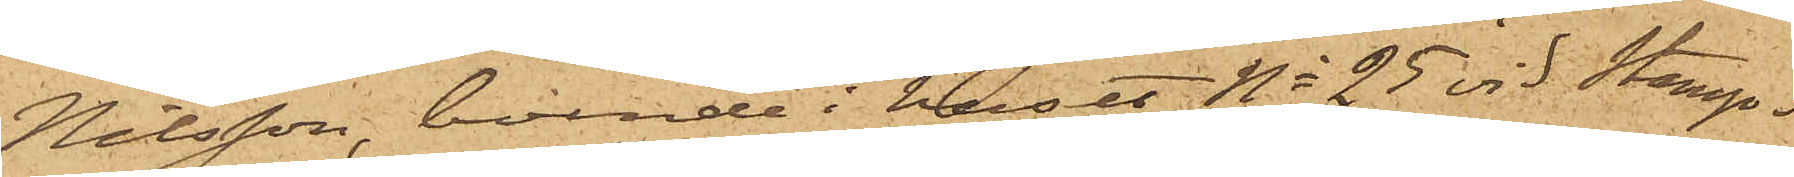Nilsson, boende i huset No 25 vid Stamp¬
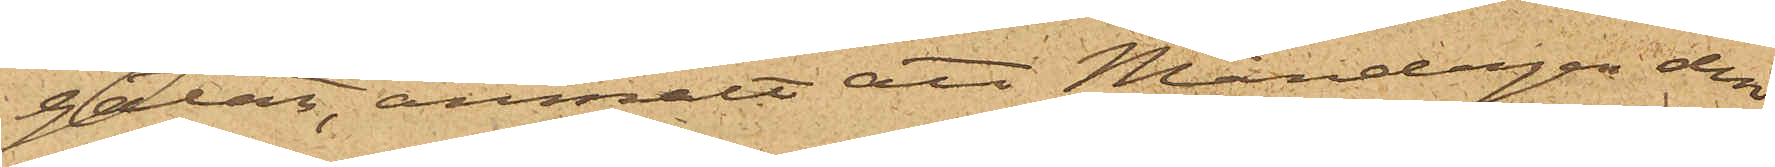gatan, anmält att Måndagen den
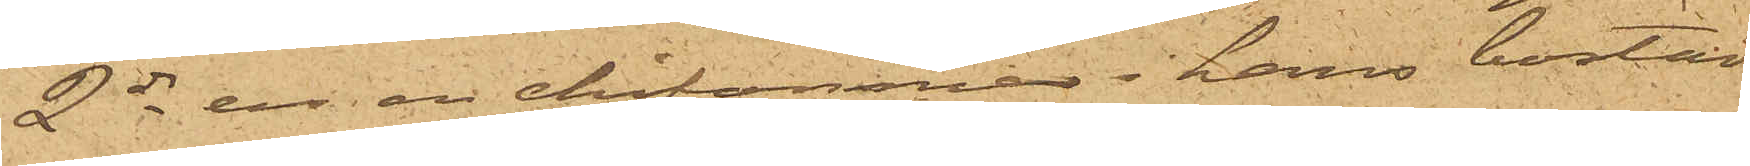2 ds ur en chifonnier i hans bostad
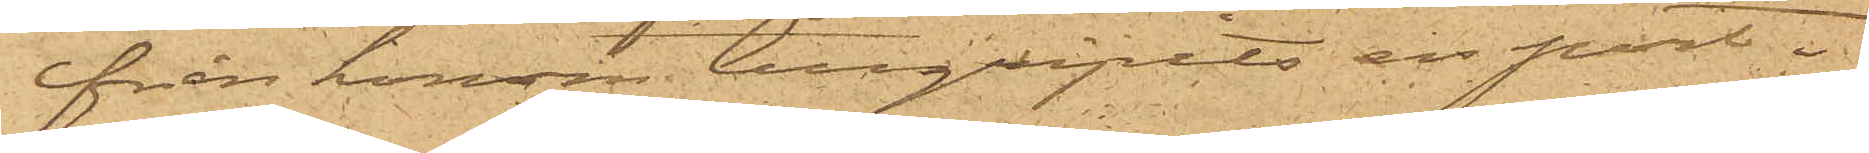ifrån honom tillgripits en port¬
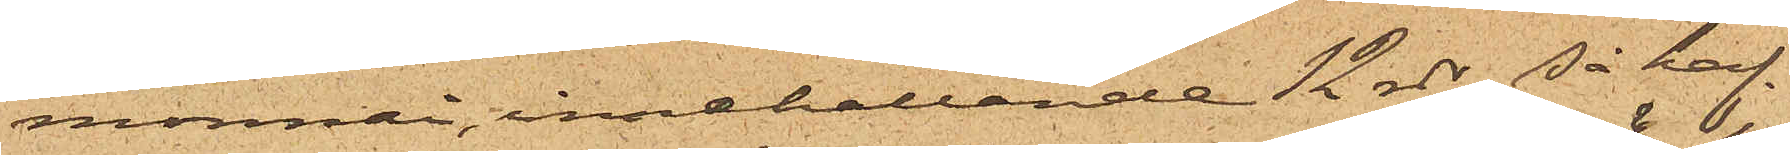monnai, innehållande 12 rdr, så haf¬
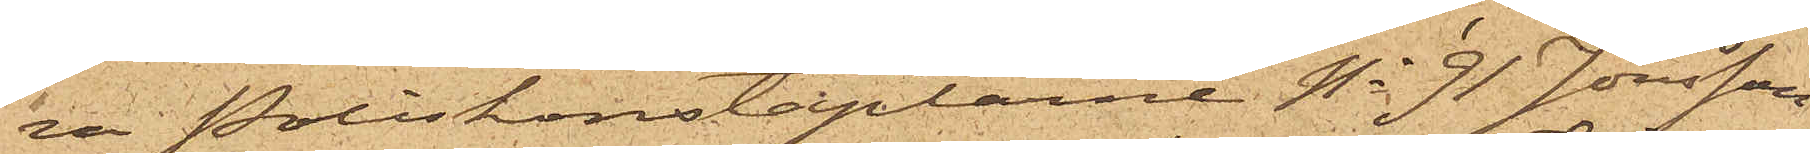va Poliskonstaplarne No 91 Jönsson
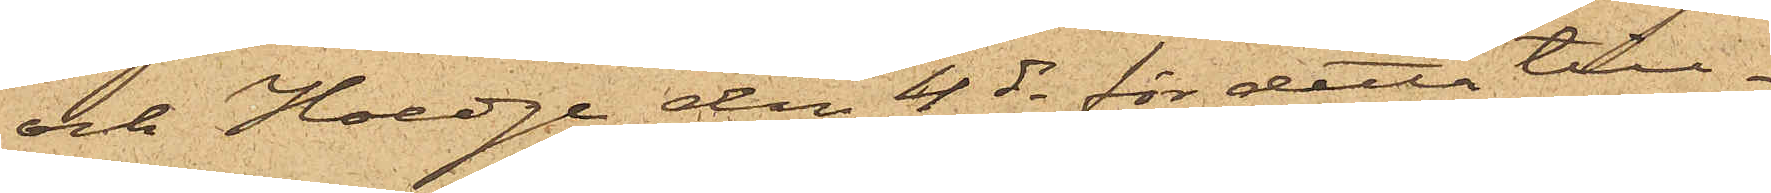och Hoedge den 4 ds för detta till¬
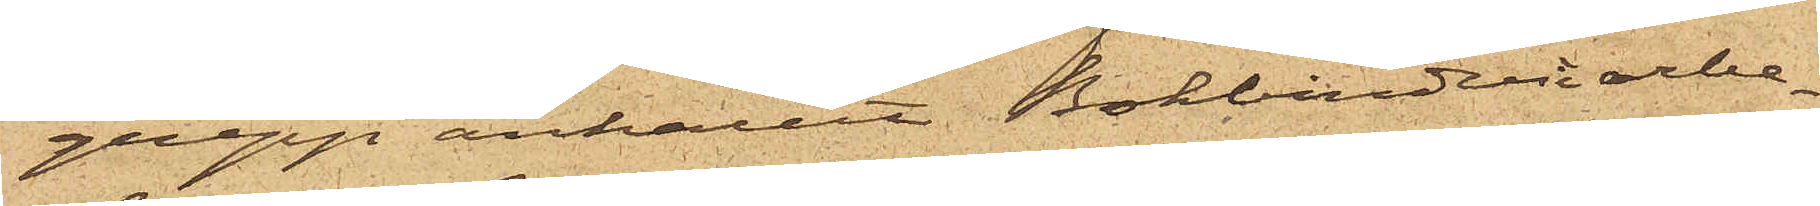grepp anhållit Bokbinderiarbe¬
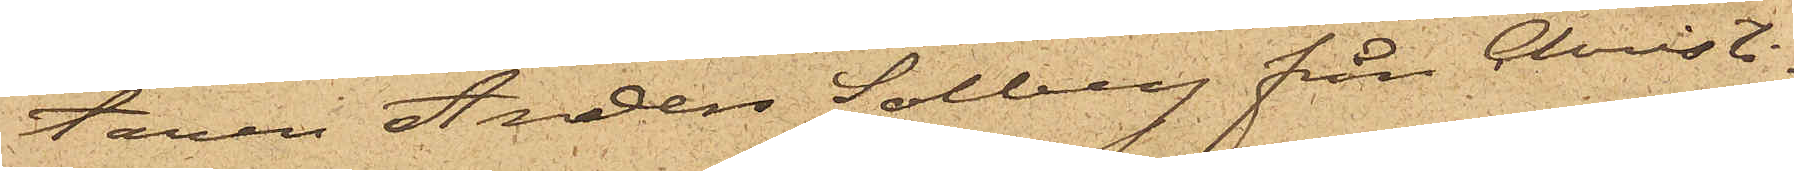taren Anders Solberg från Christi¬
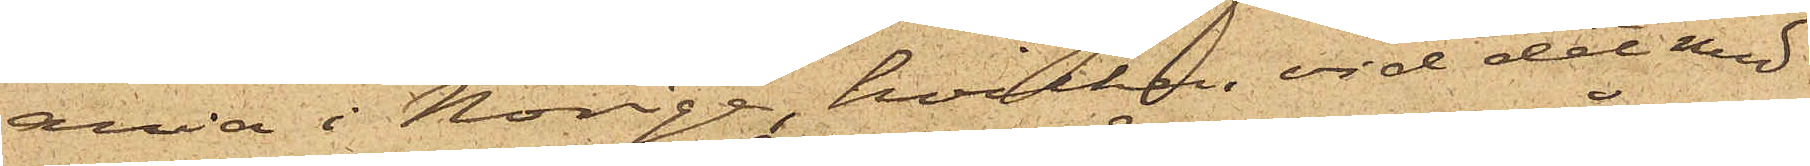ania i Norige, hvilken vid det med
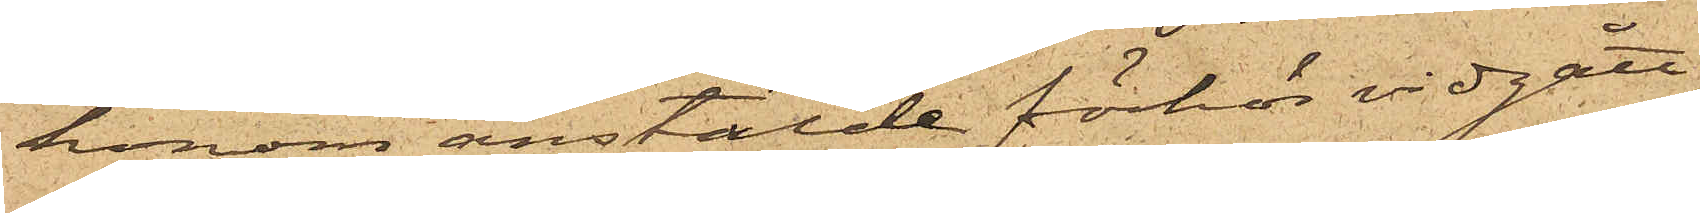honom anstälde förhör vidgått,
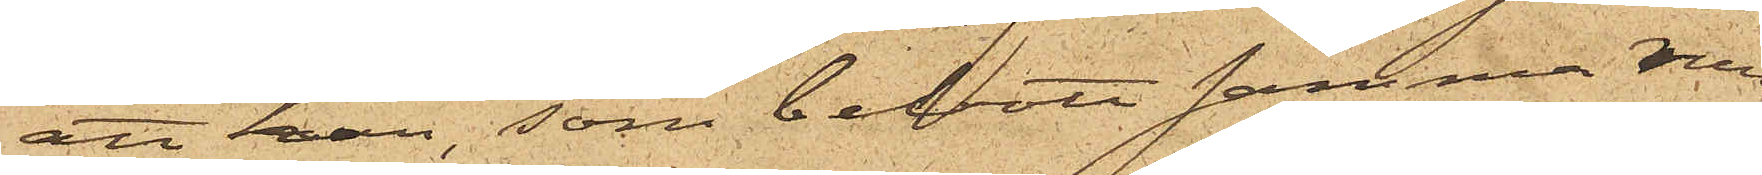att han, som bebott samma rum
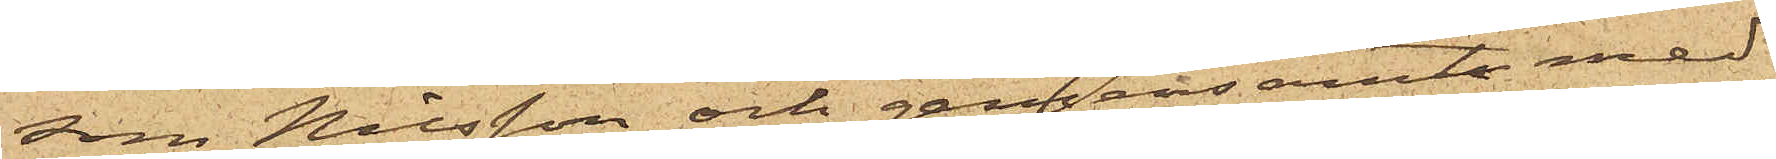som Nilsson och gemensamt med
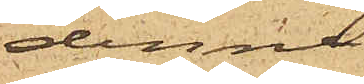denne
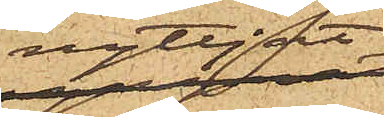nyttjat
